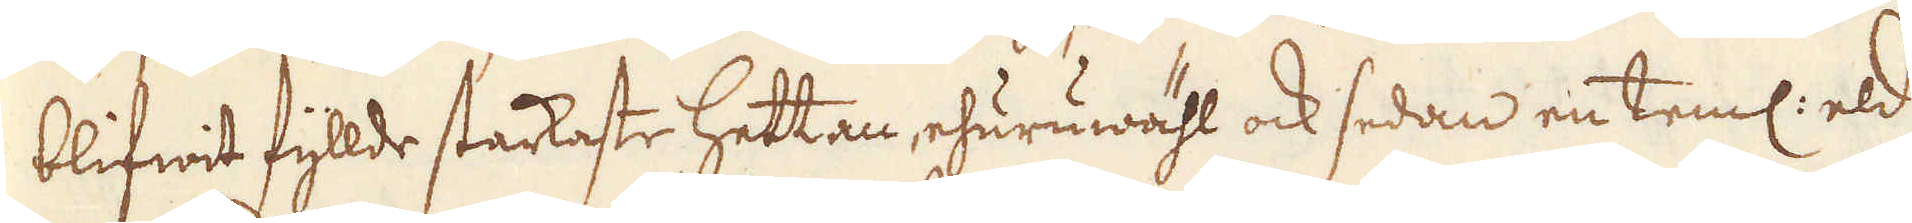blifwit fyllde starkaste hettan, ehuruwähl ock sedan en teml: eld
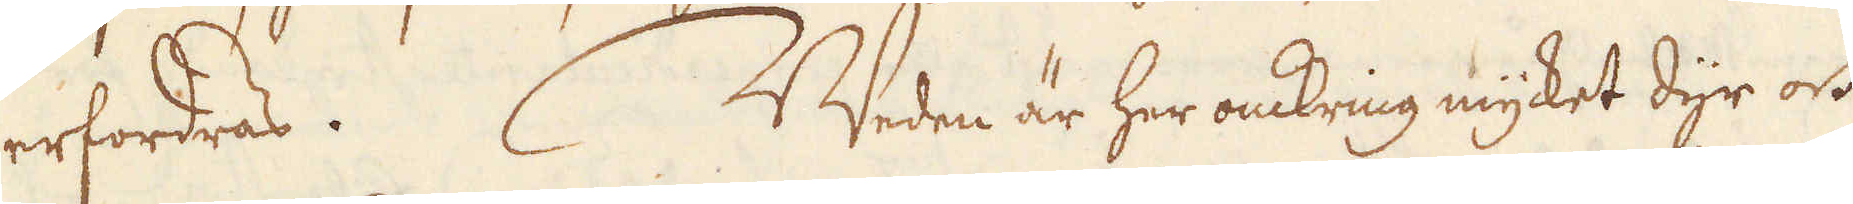erfordras. Weden är her omkring mycket dyr och
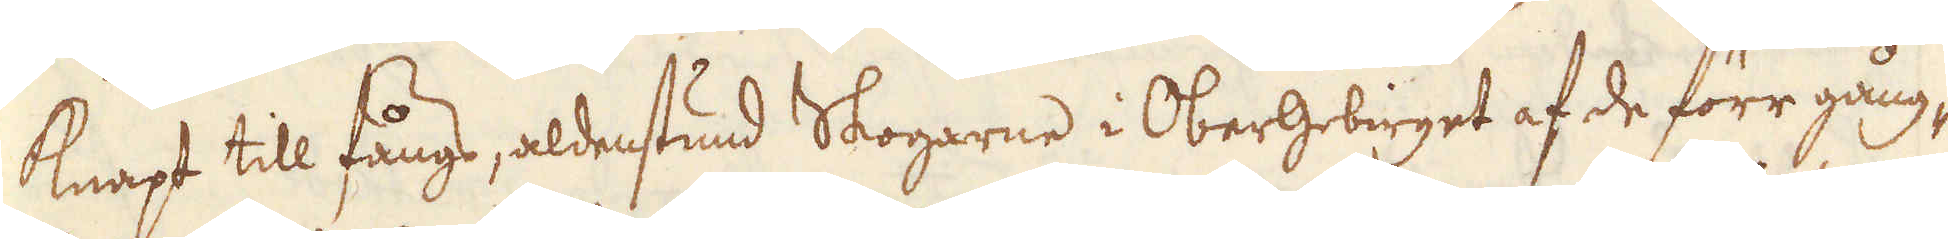knapt till fångs, aldenstund Skogarne i Obergebirget af de förr gång-
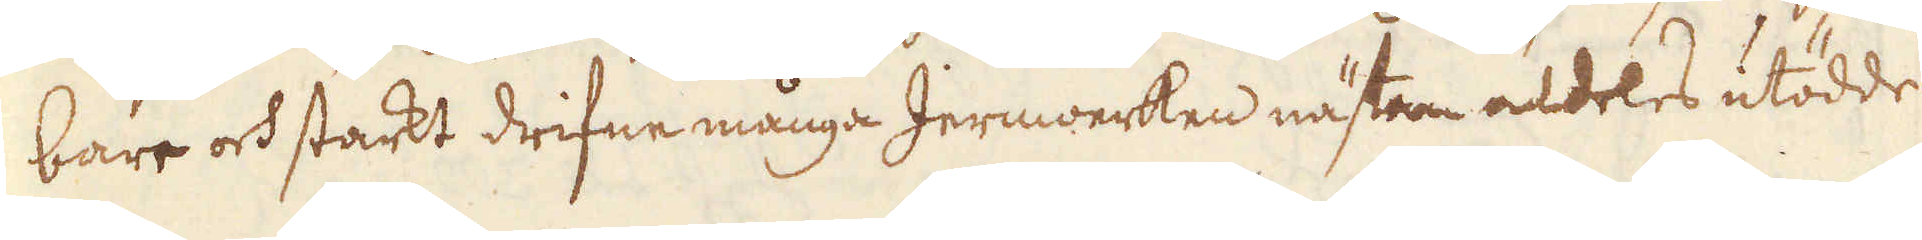bare och starkt drifne många Jernwerken nästan aldeles utödde
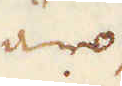äro
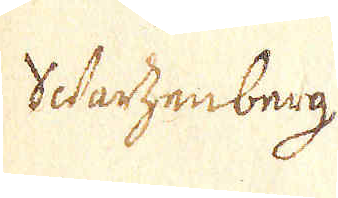Swartzenberg
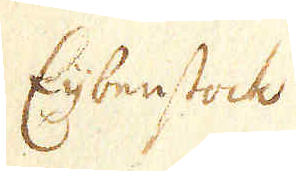Eijbenstock
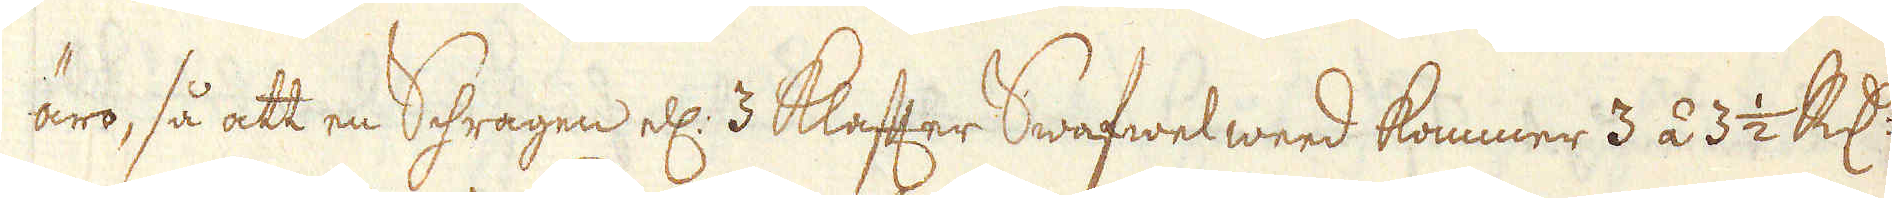äro, så att en Schragen ell: 3 Klafter Swafwelweed kommer 3 á 3 1/2 R:dr
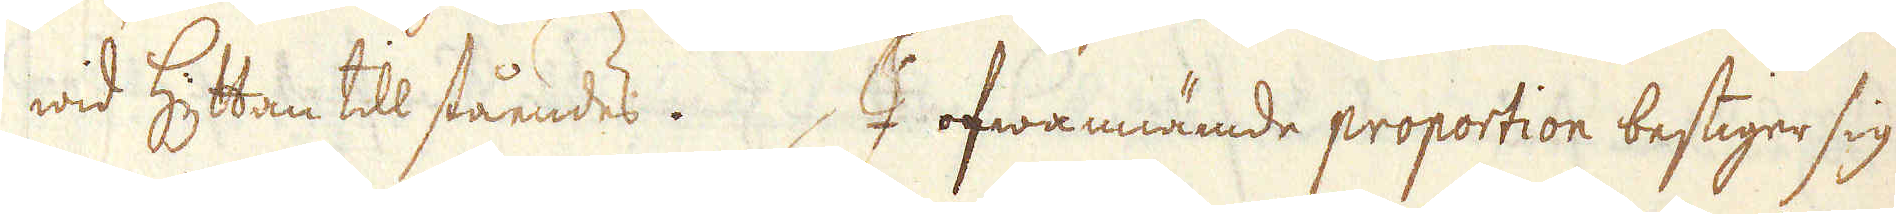wid Hyttan till ståendes. I ofwannämde proportion bestiger sig
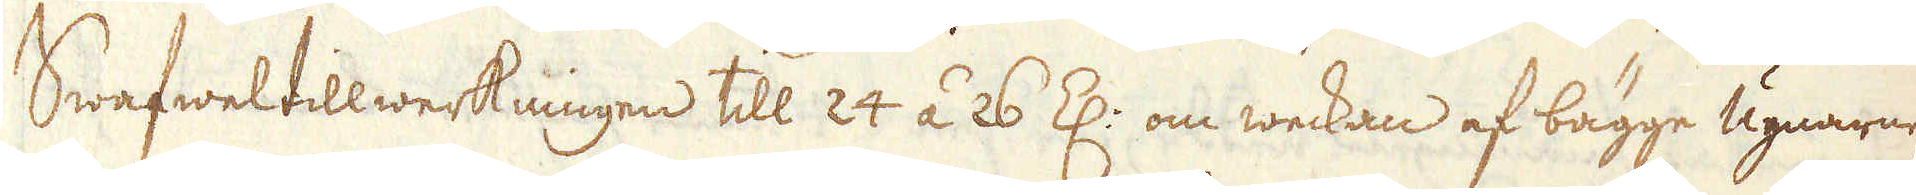Swafweltillwerkningen till 24 á 26 Z: om weckan af bägge ugnarne,
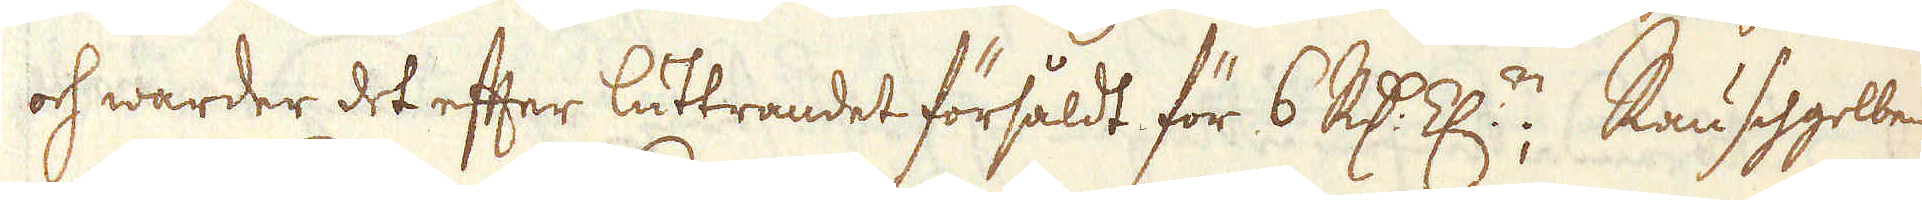och warder det efter luttrandet försåldt för 6 R:dr Z:n; Rauschgelbe
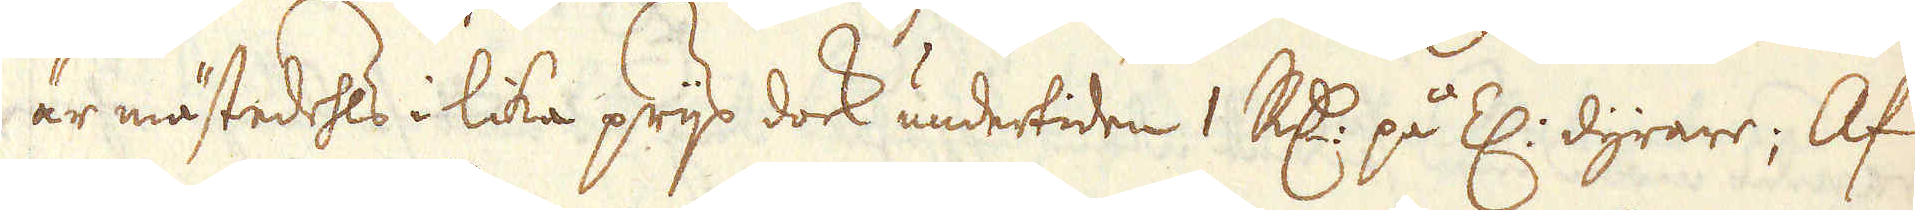är mästedehls i lika prijs dock undertiden 1 R:dr på Z: dyrare; Af
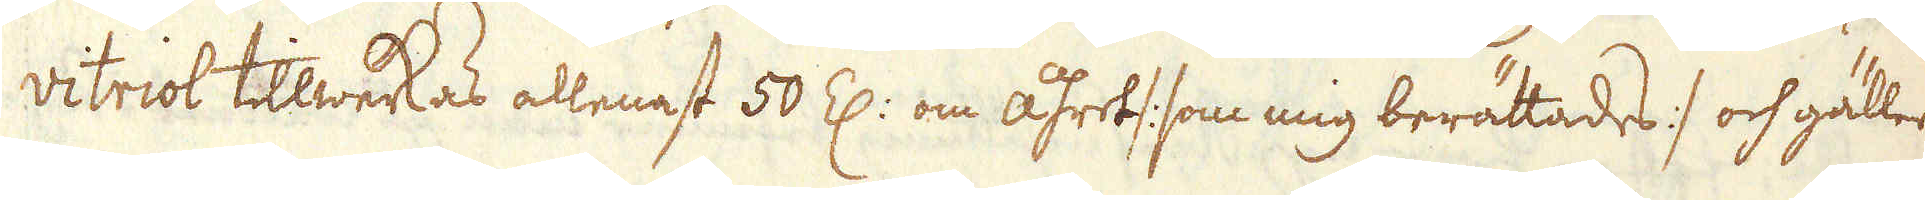vitriol tillwerkas allenast 50 Z: om åhret /: som mig berättades :/ och gäller
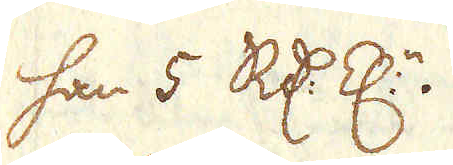han 5 R:dr Z:n.
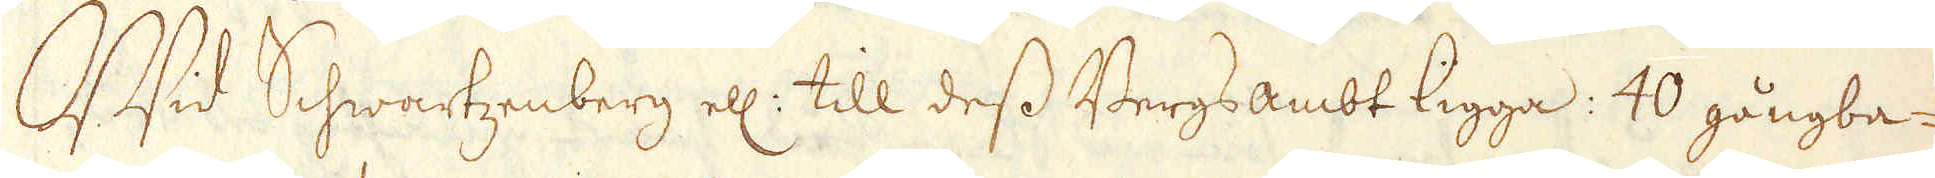Wid Schwartzenberg ell: till dess Bergsambt ligga: 40 gångba-
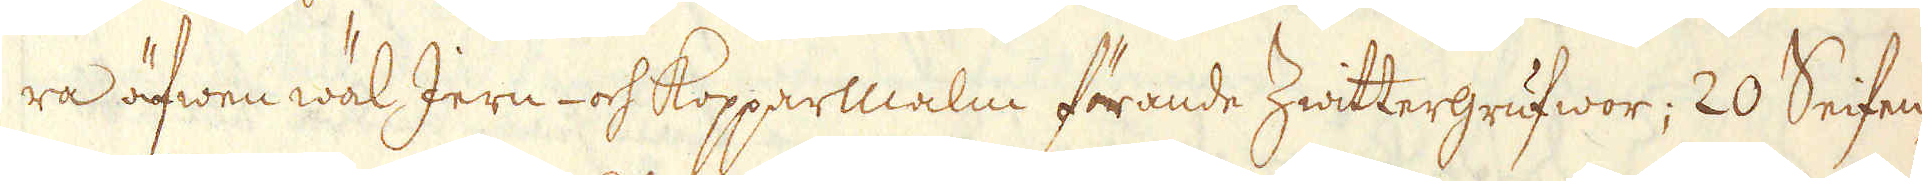ra äfwen wäl Jern- och Kopparmalm förande Zwittergrufwor; 20 Seifen-
